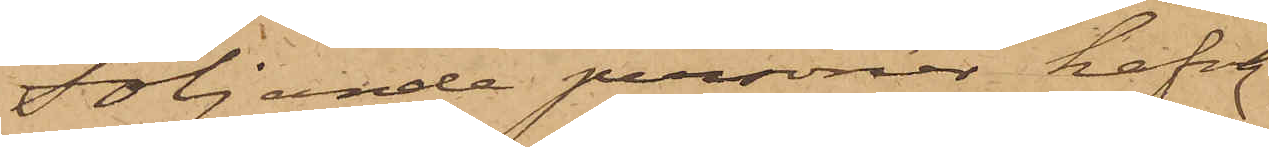Följande personer hafva
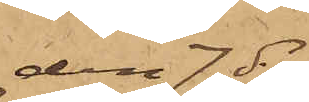den 7 ds
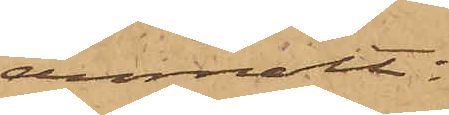anmält:
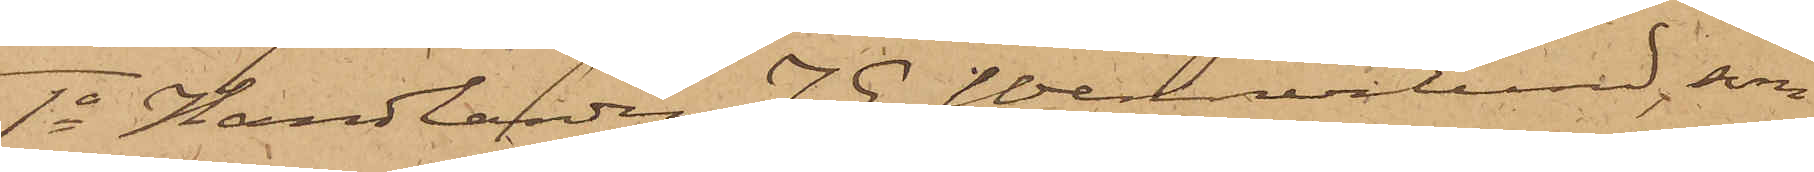1o Handlanden J. E. Wennerlund, som
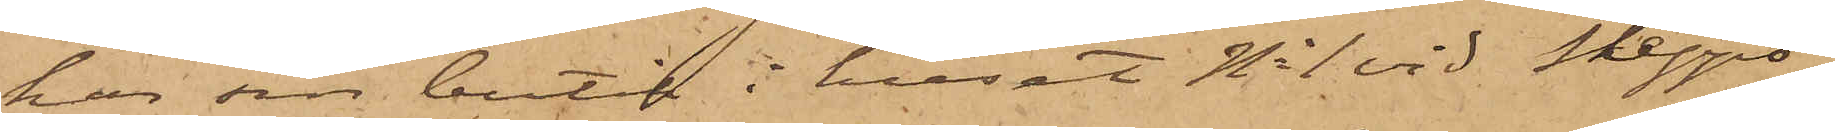har sin butik i huset No 1 vid Skepps¬
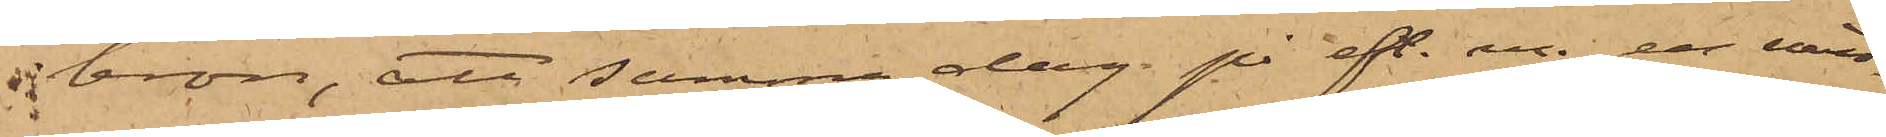bron, att samma dag på eft. m. en min¬
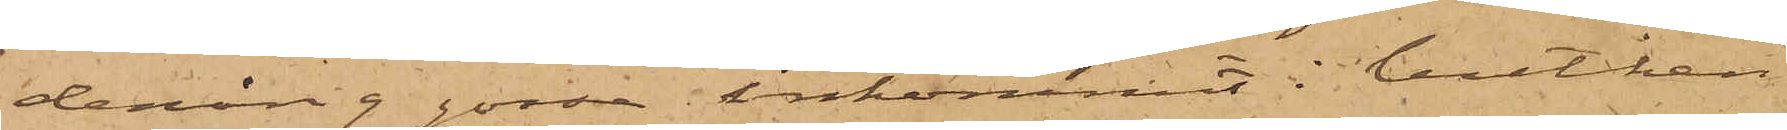deråring gosse inkommit i butiken
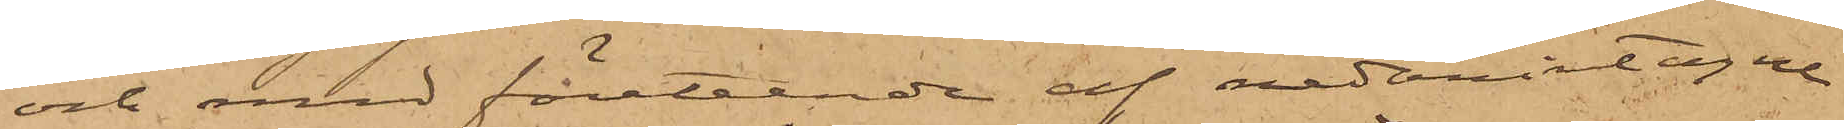och med företeende af nedanintagne
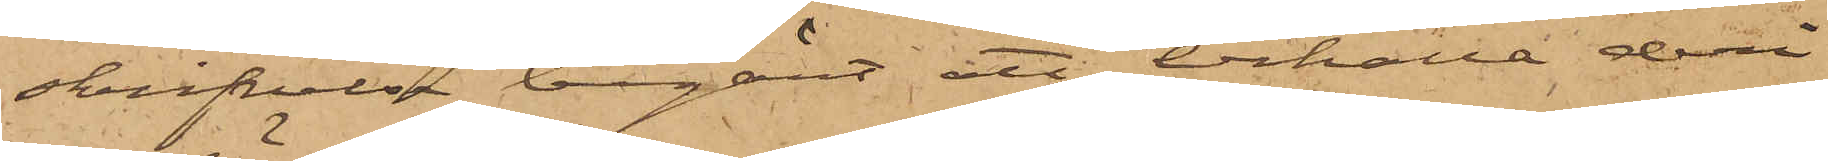skrifvelse begärt att erhålla deri
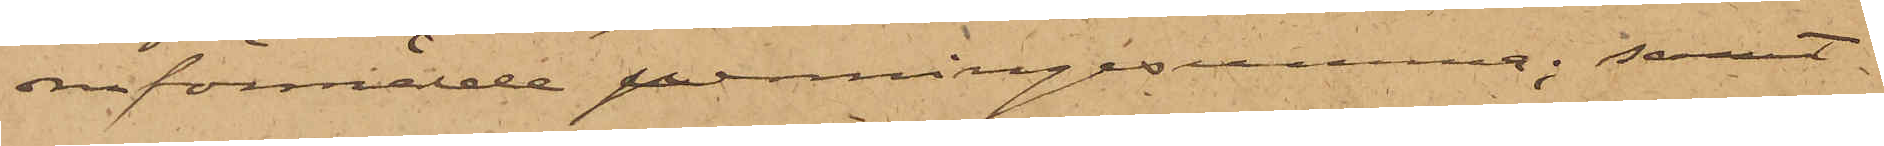omförmälde penningarne; samt
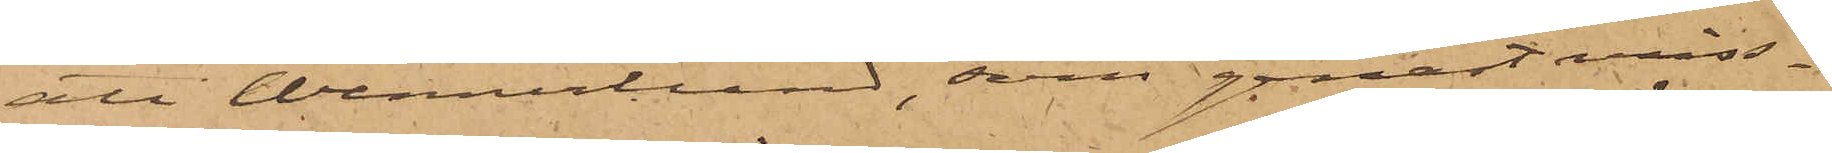att Wennerlund, som genast miss¬
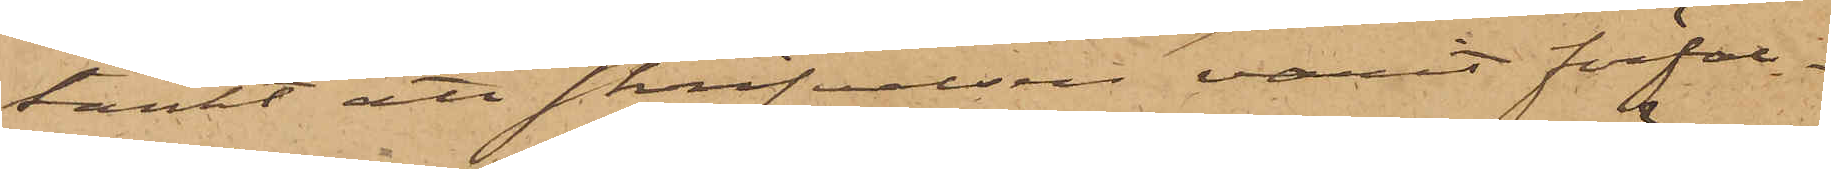tänkt att skrifvelsen varit förfal¬
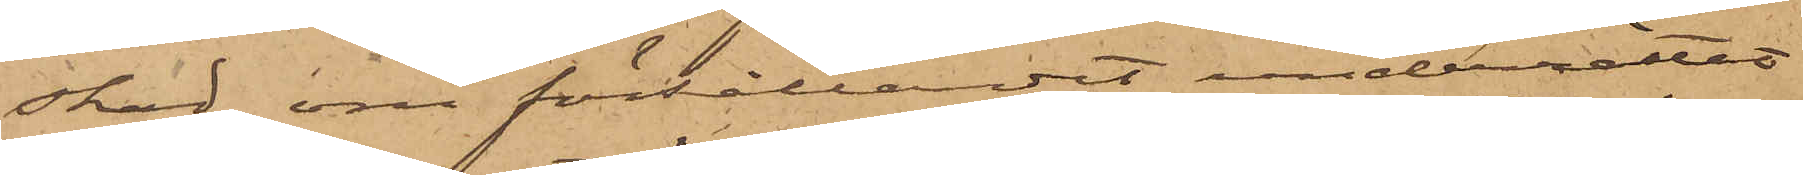skad, om förhållandet underrättat
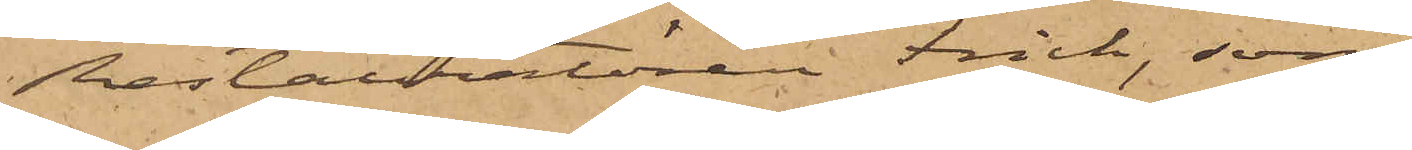Restauratören Frick, som
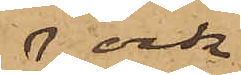ock
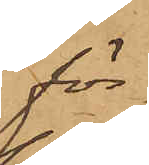för¬
